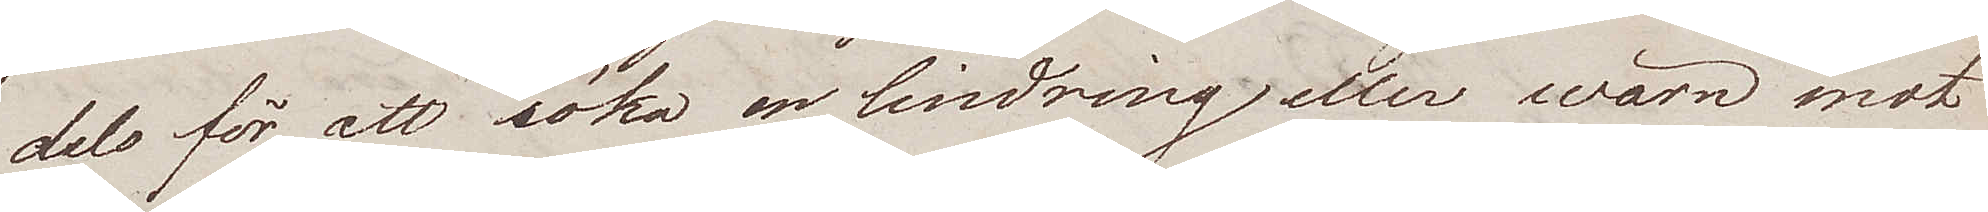dels för att söka en lindring eller wärn mot
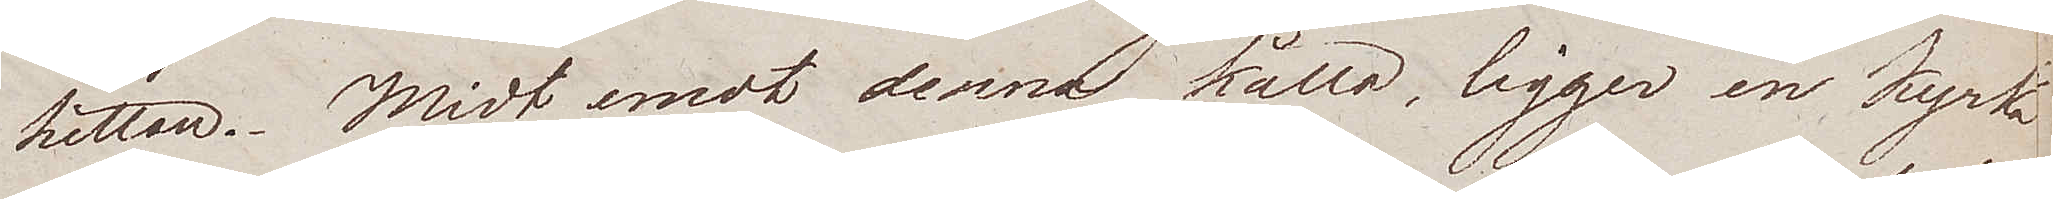hettan. Midt emot denna källa, ligger en Kyrka
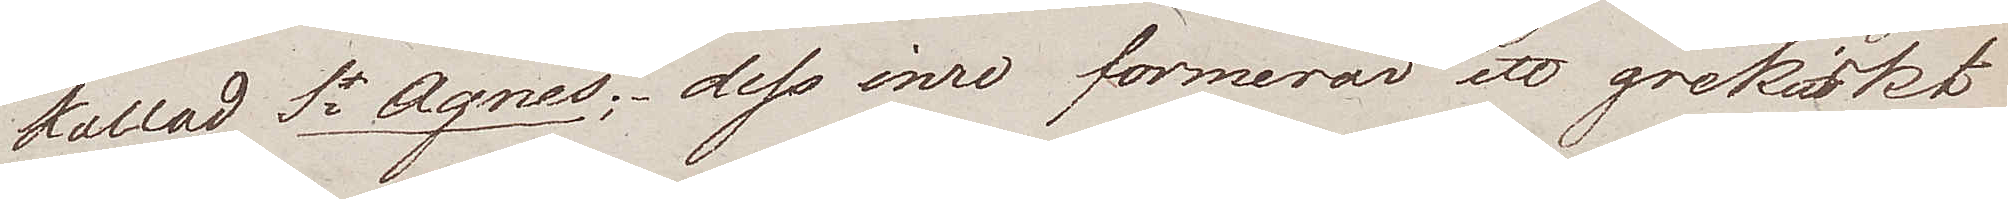kallad St Agnes; dess inre formerar ett grekiskt
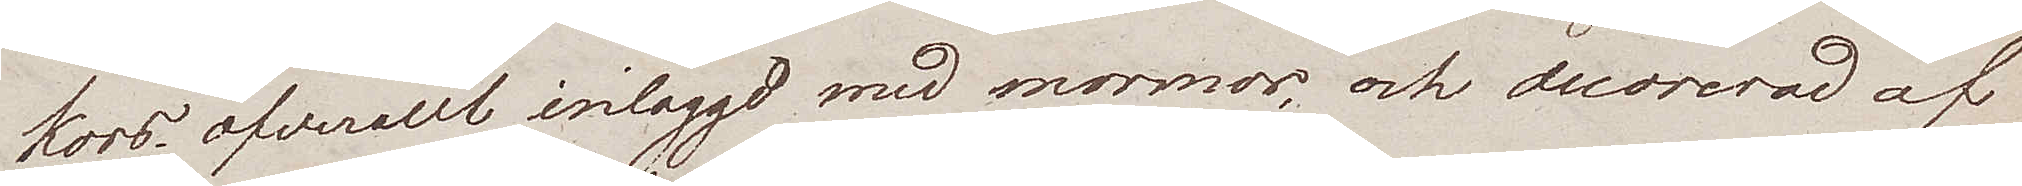kors, öfverallt inlaggd med marmor, och decorerad af
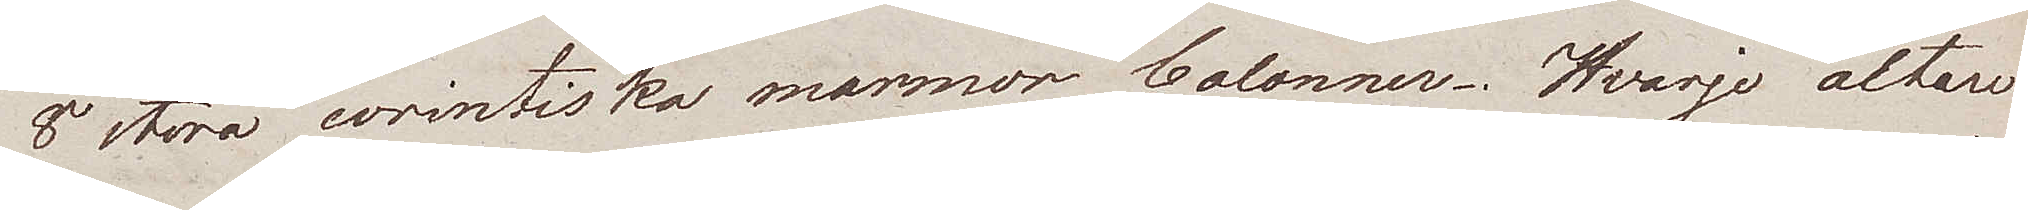8 stora corintiska marmor Colonner. Hvarje altare
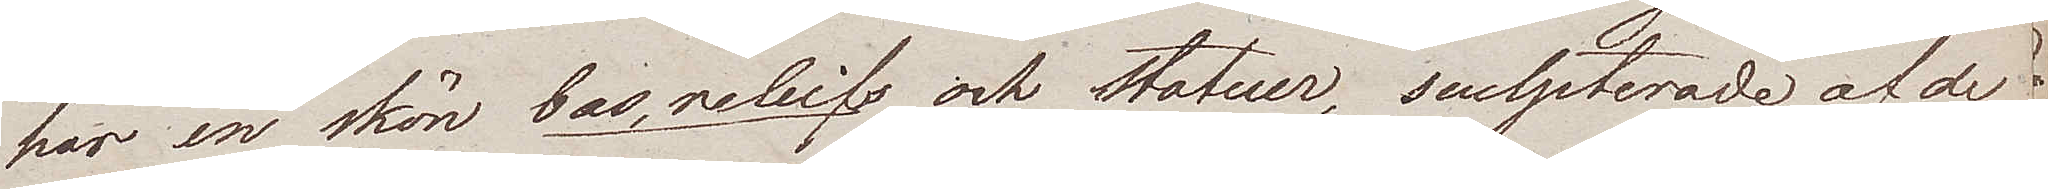här en skön bas, reliefs och statuer, sculpterade af de
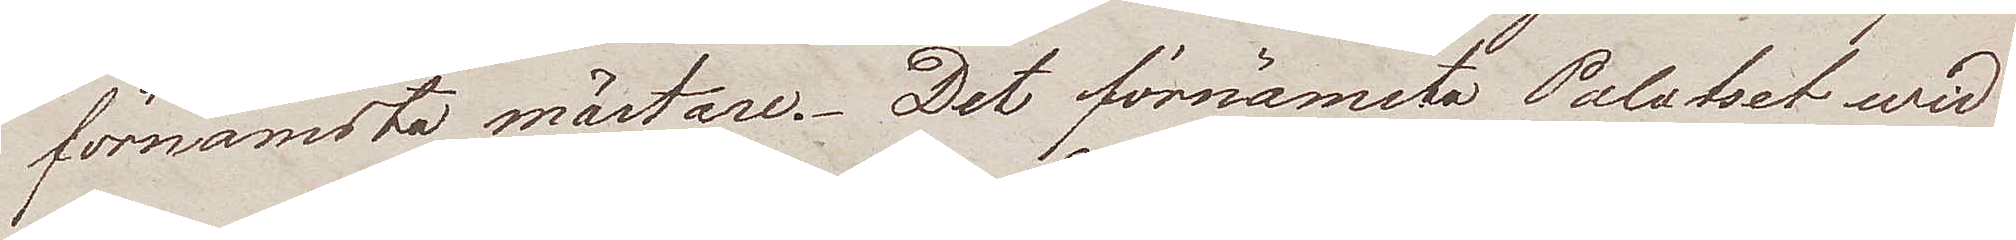förnämsta mästare. Det förnämsta Palatset wid
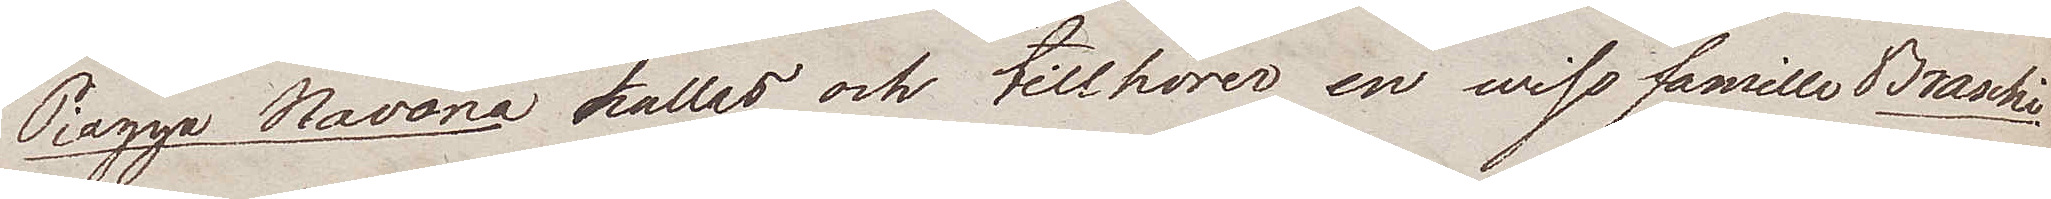Piazza Navona kallas och tillhörer en wiss famille Braschi.
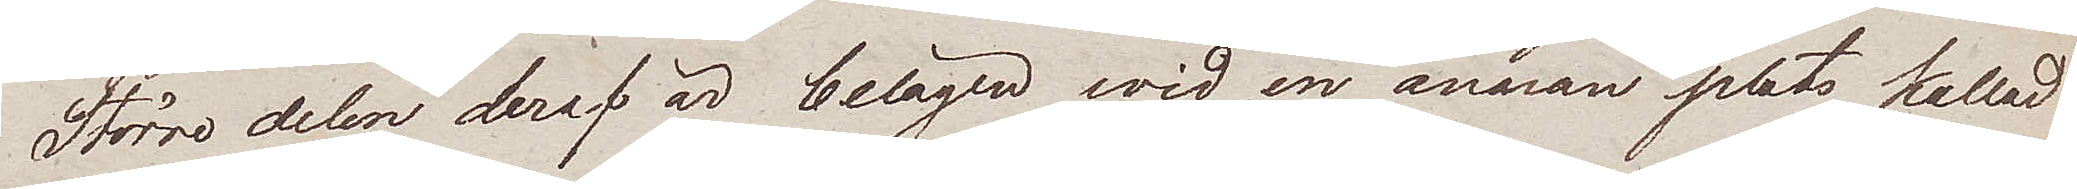Större delen deraf är belägen wid en annan plats kallad
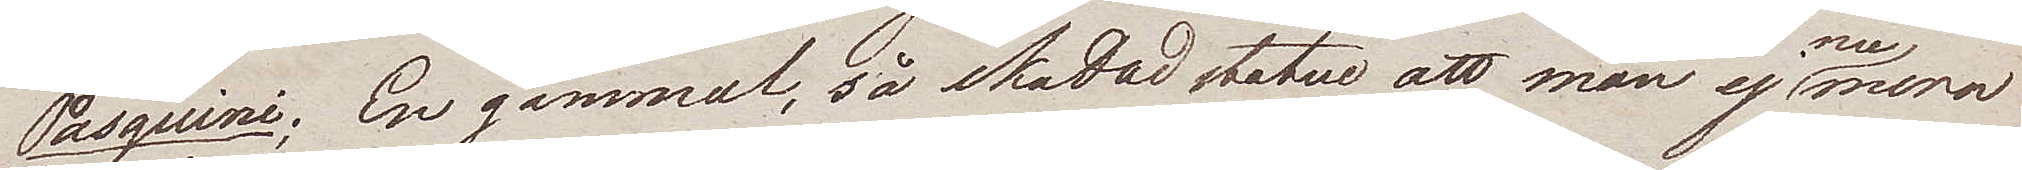Pasquini; En gammal, så skadad statue att man ej numera
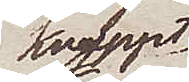knappt
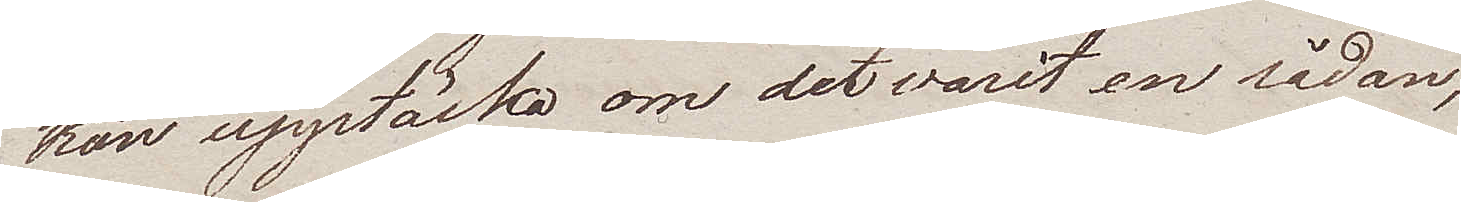kan upptäcka om det varit en sådan,
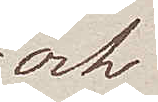och
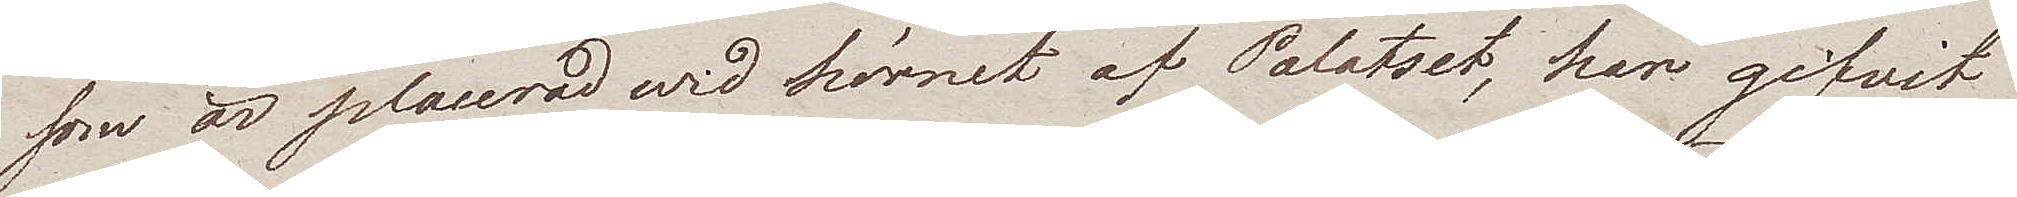som är placerad wid hörnet af Palatset, har gifvit
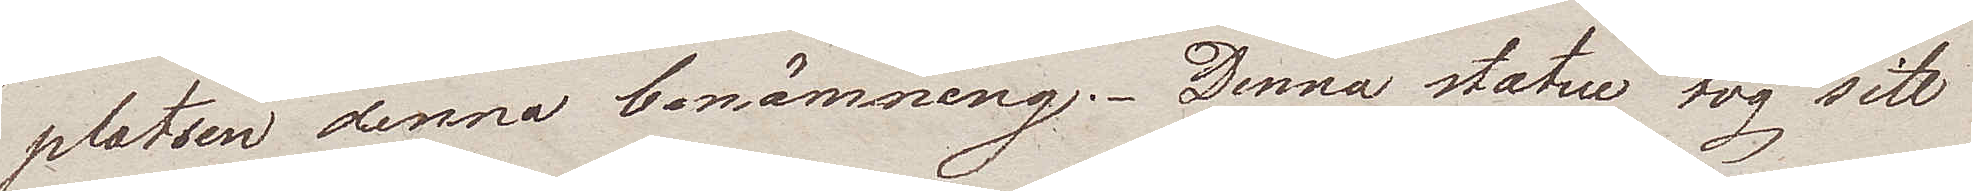platsen denna bemämning. Denna statue tog sitt
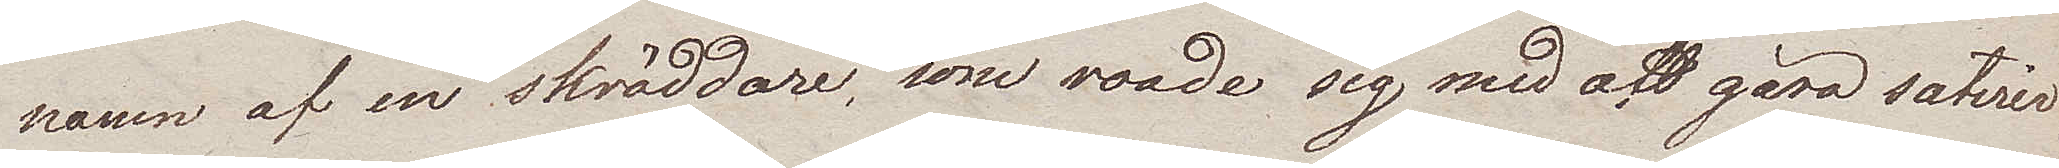namn af en skräddare, som roade sig med att göra satirer
